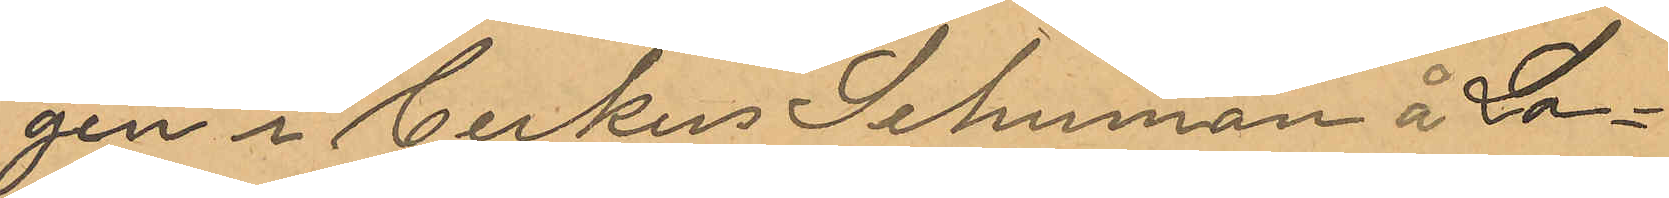gen i Cirkus Schuman å Lo¬
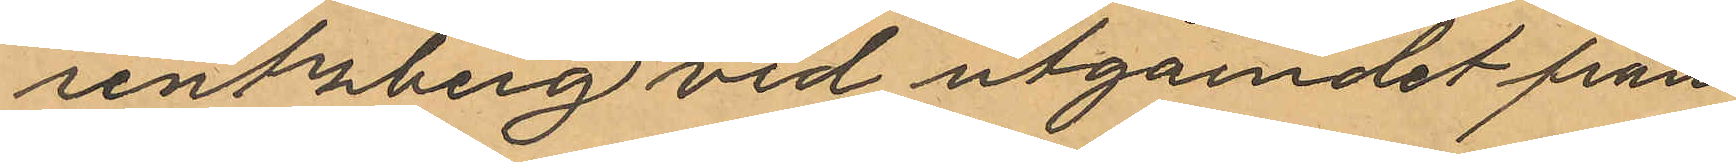renzberg vid utgåendet från
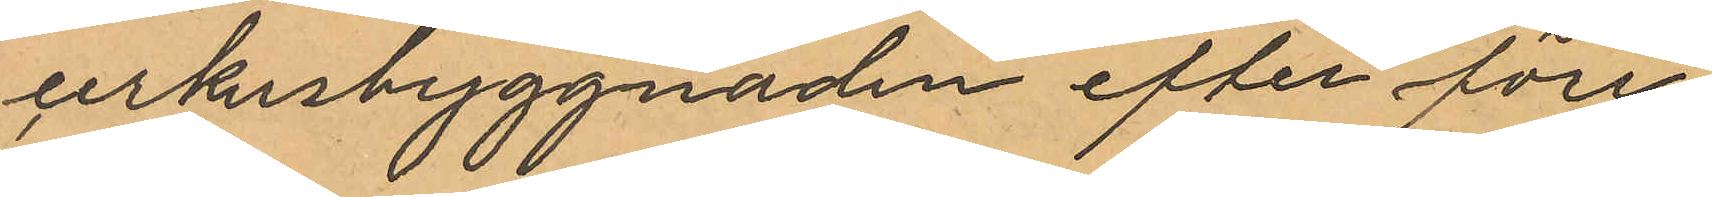cirkusbyggnaden efter före¬
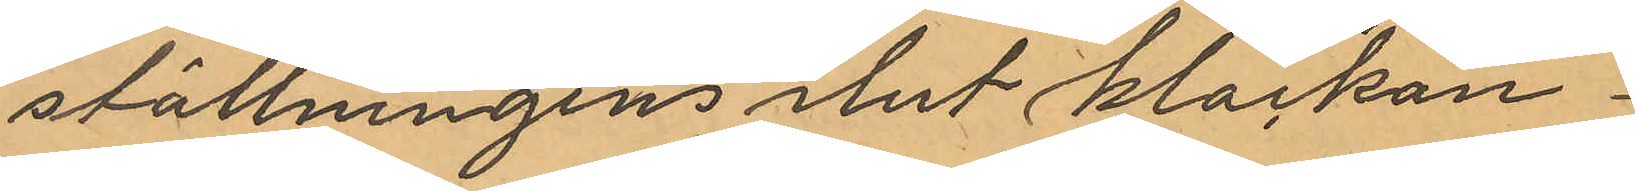ställningens slut klockan
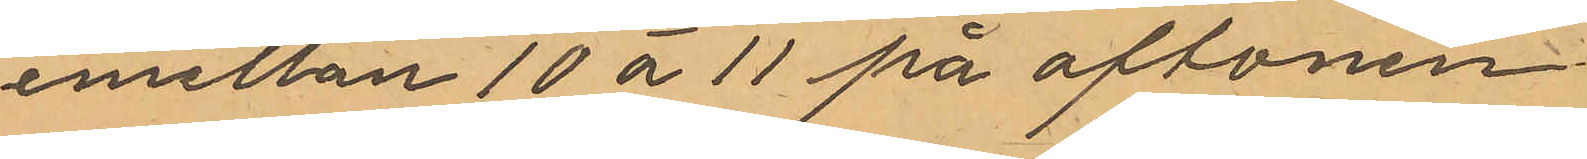emellan 10 á 11 på aftonen
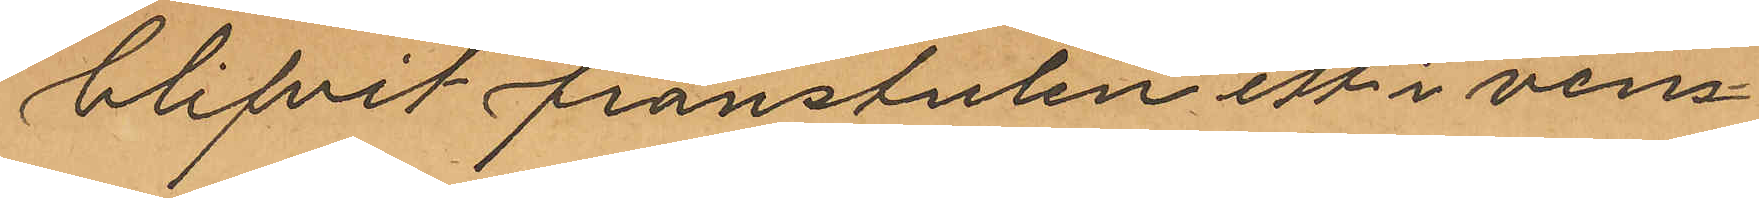blifvit frånstulen ett i vens¬
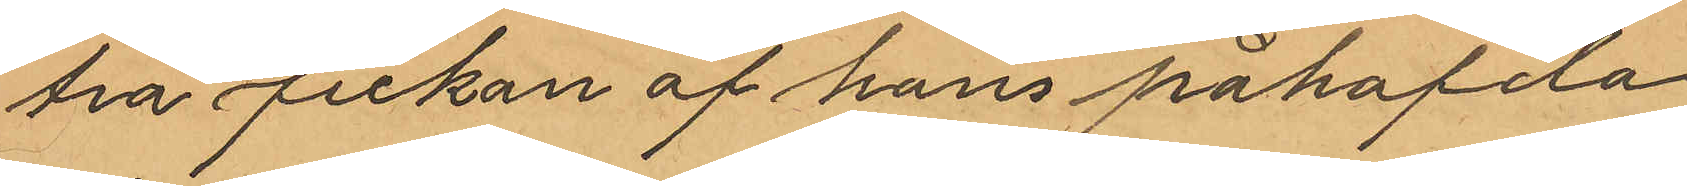tra fickan af hans påhafda
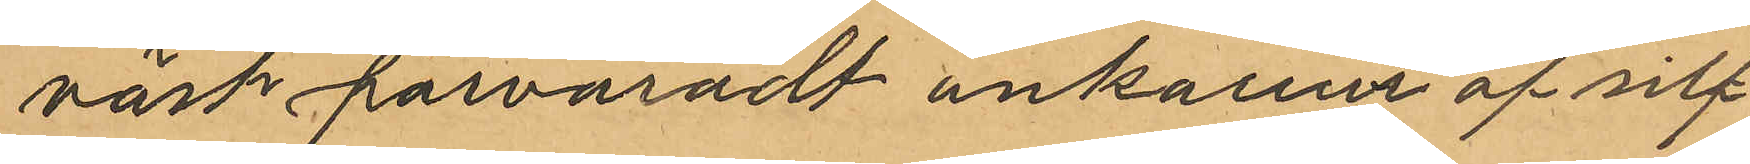väst förvaradt ankarur af silf¬
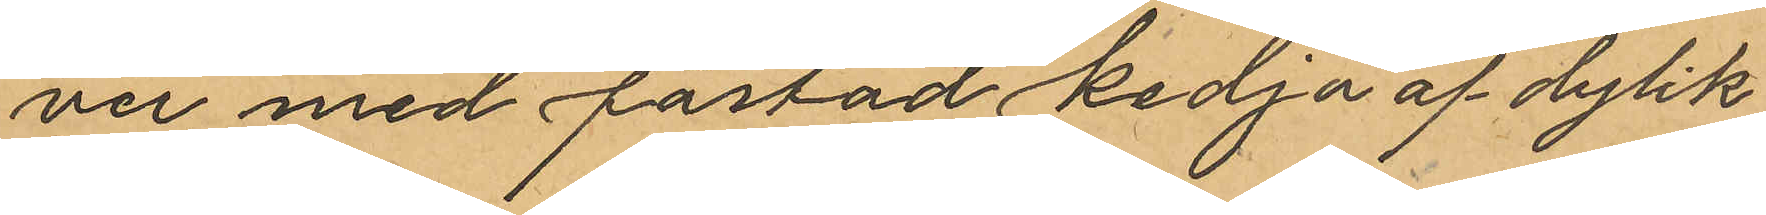ver med fästad kedja af dylik
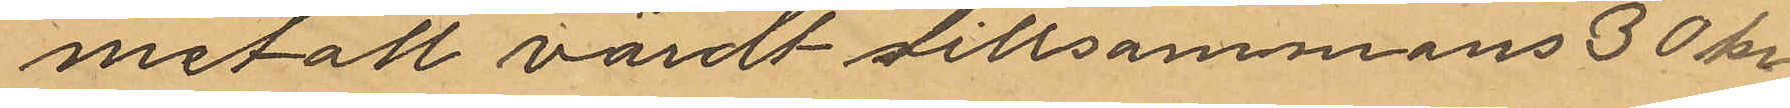metall värdt tillsammans 30 kr.
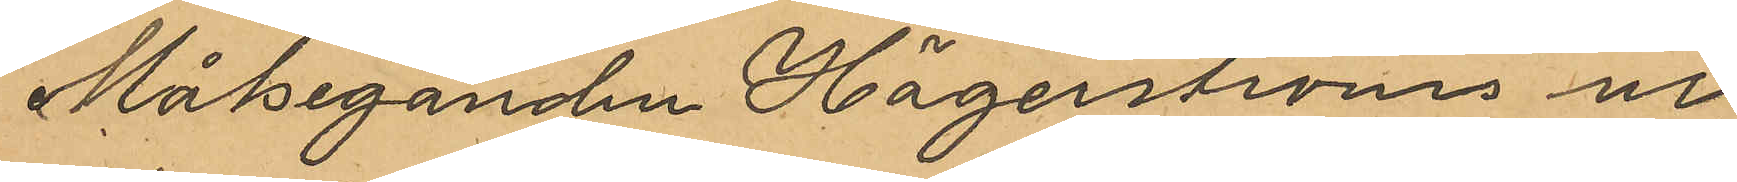Målseganden Hägerströms ur
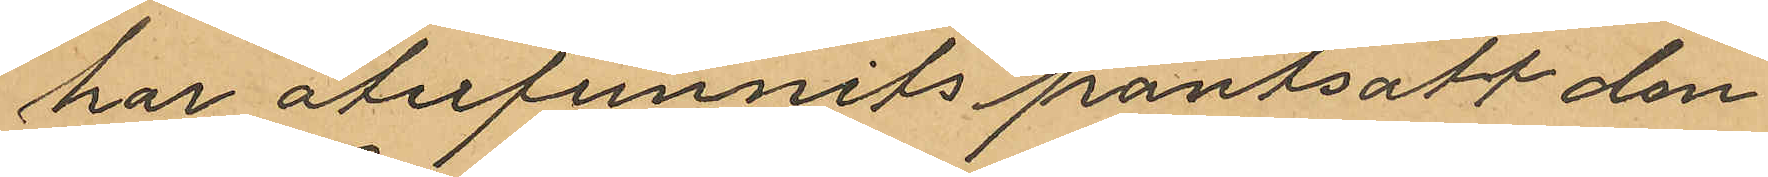har åferfunnits pantsatt den
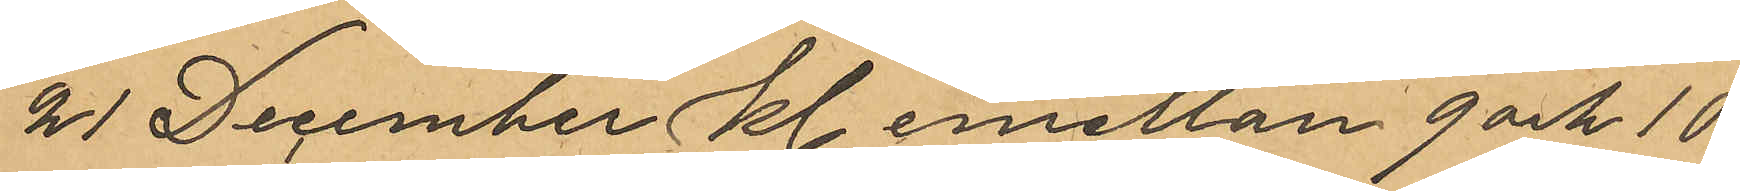21 December kl. emellan 9 och 10
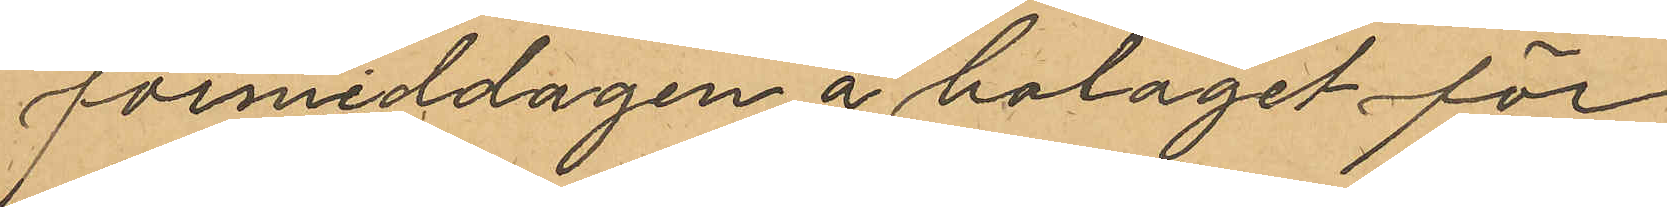förmiddagen å bolaget för
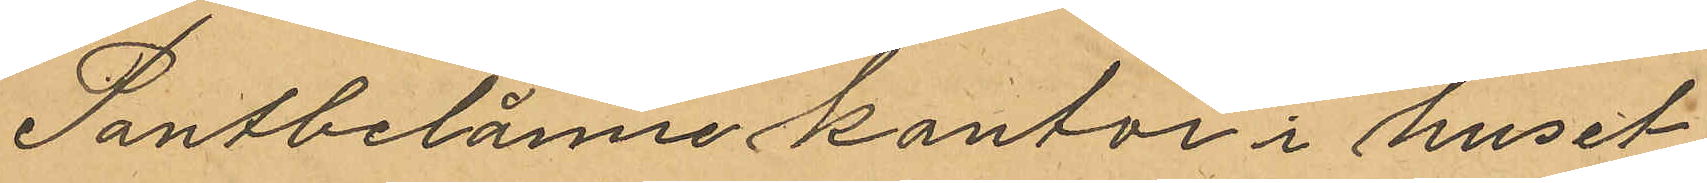Pantbelåne kontor i huset
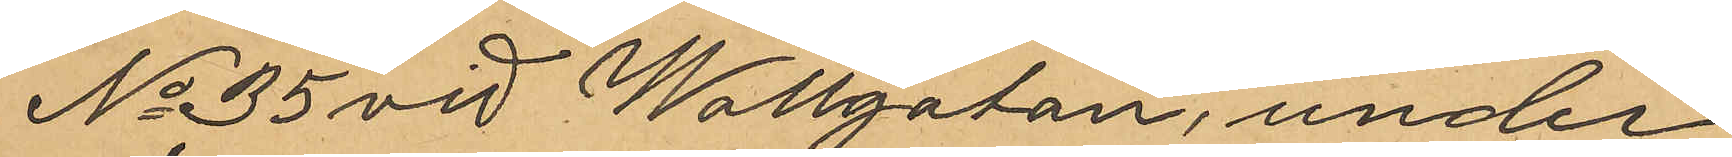No 35 vid Wallgatan, under
